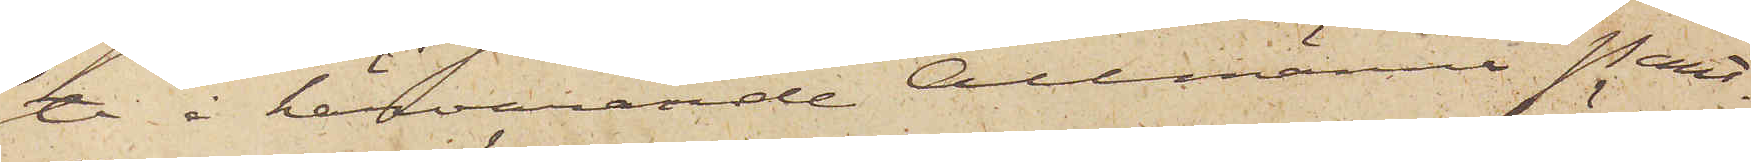te i härvarande Allmänna Pant¬
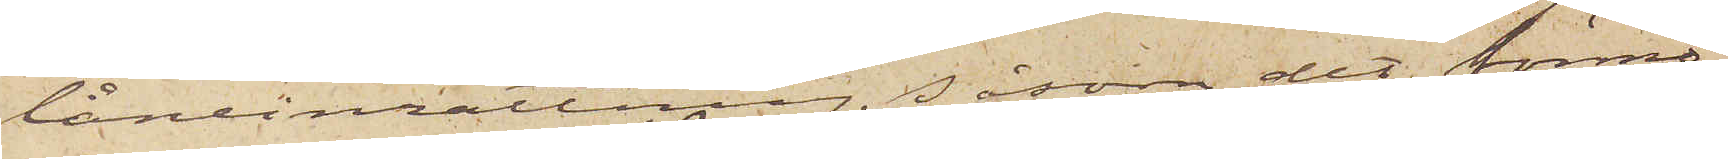låneinrättning, såsom det förmo¬
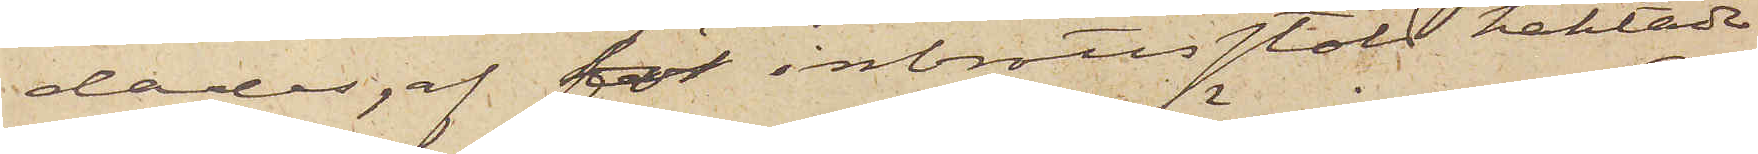dades, af för inbrottsstöld häktade
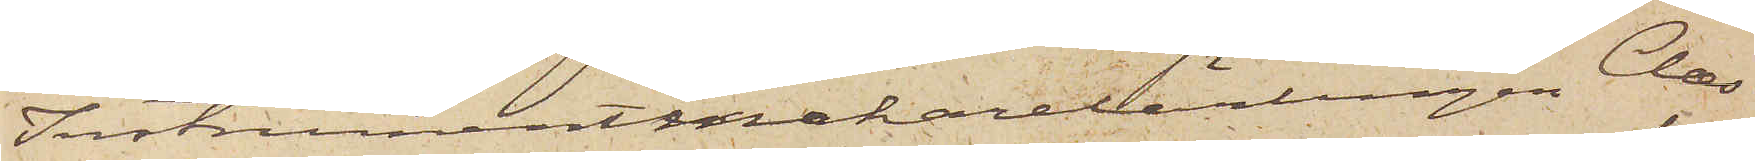Instrumentmakarelärlingen Claes
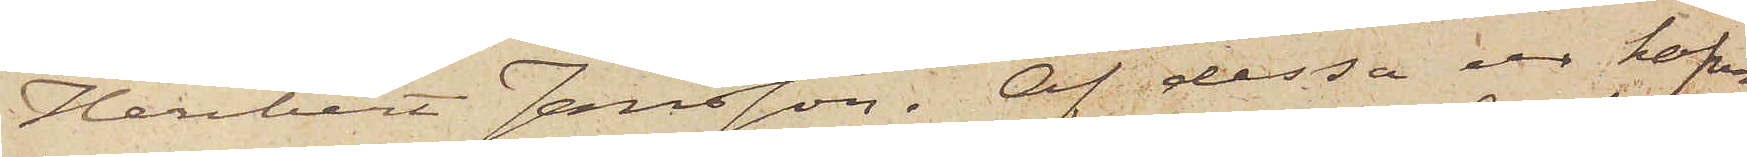Heribert Jansson. Af dessa ur hafva
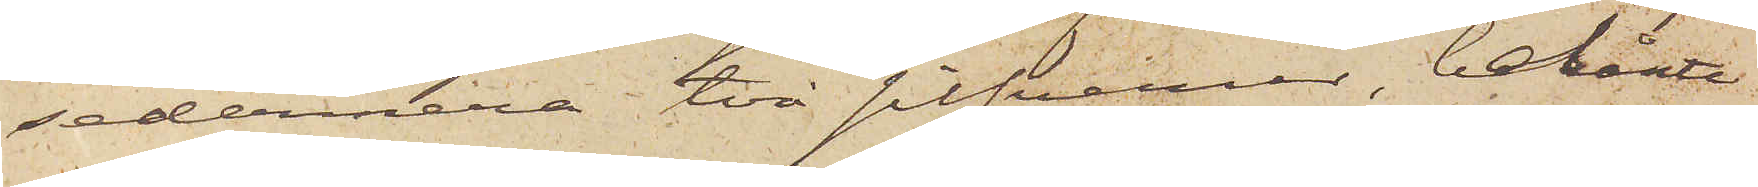sedermera två silfverur, belånte
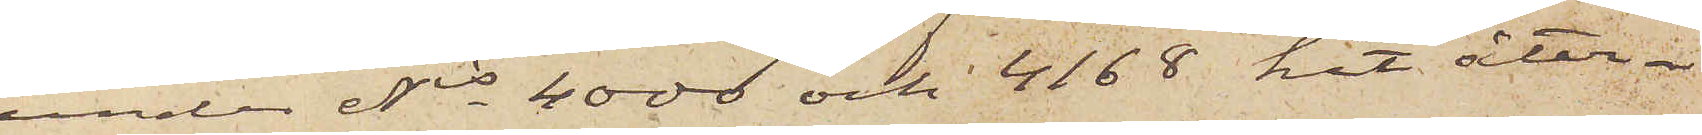under Nis 4000 och 4168 hit åter¬
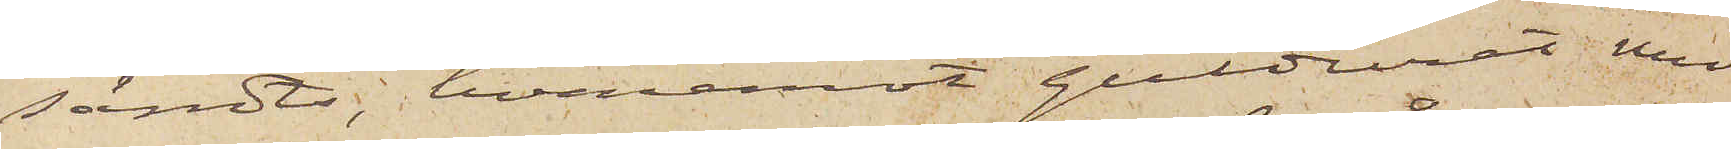sändts, hvaremot gulduret med
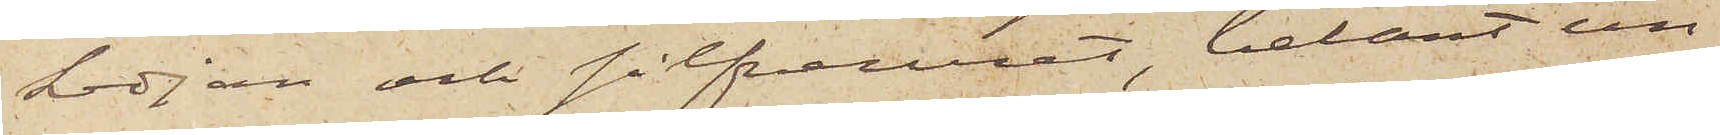kedjan och silfveruret, belånt un¬
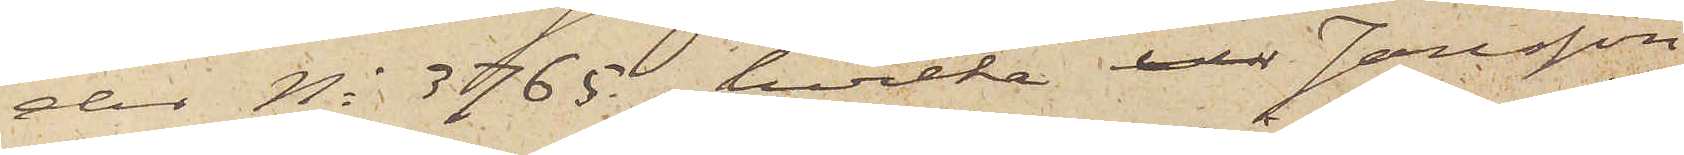der No 3765, hvilka ur Jansson
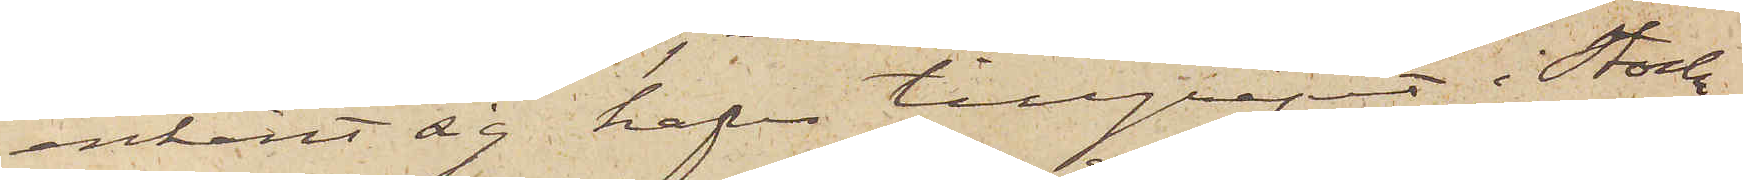erkänt sig hafva tillgripit i Stock¬
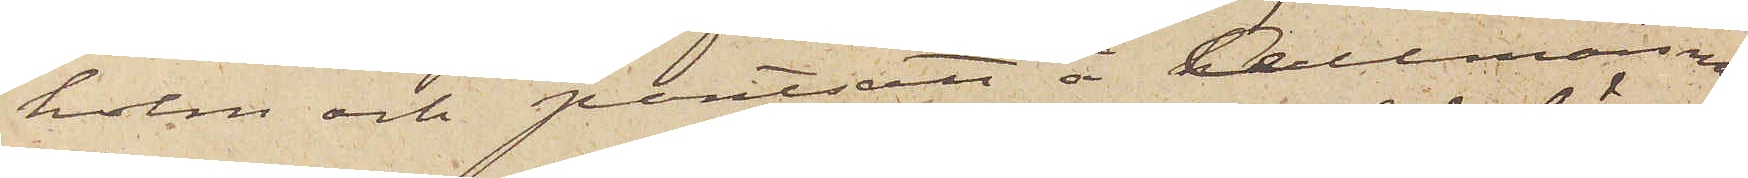holm och pantsatt å Allmänna
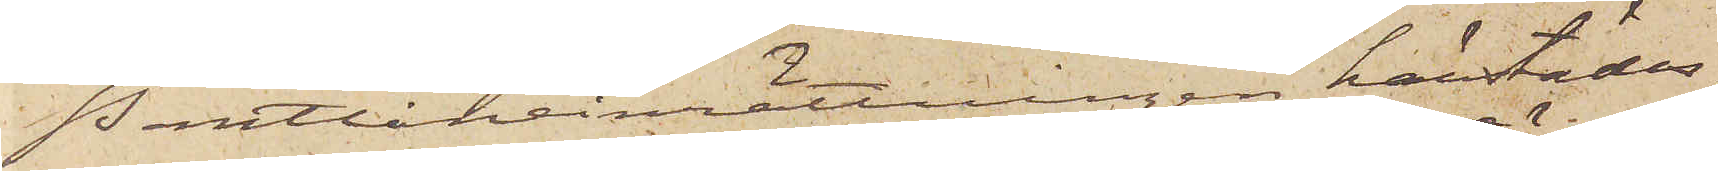Pantlåneinrättningen härstädes,
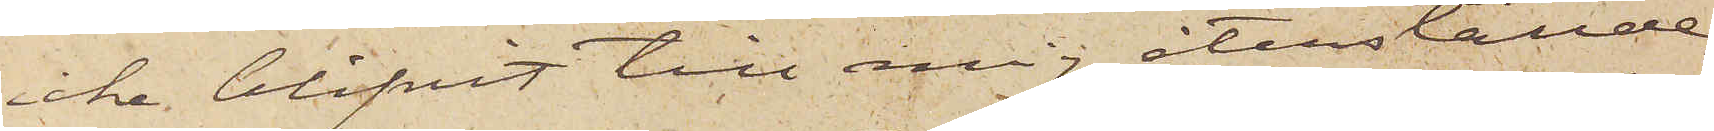icke blifvit till mig återställde.
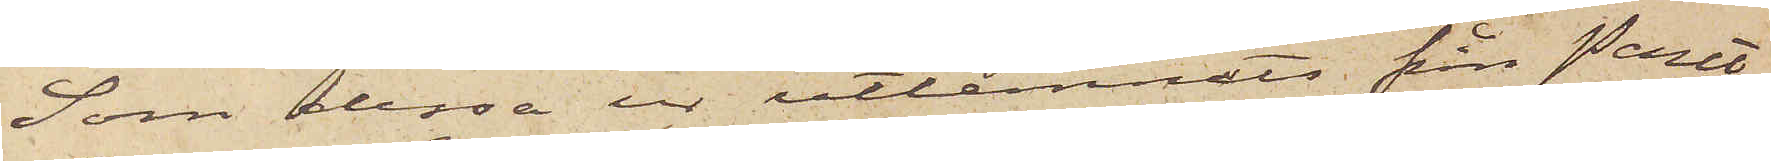Som dessa ur utlemnats från Pant¬
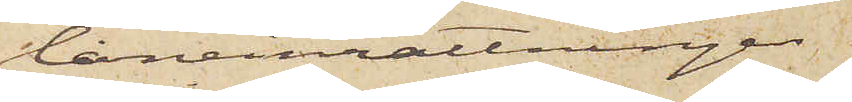låneinrättningen
